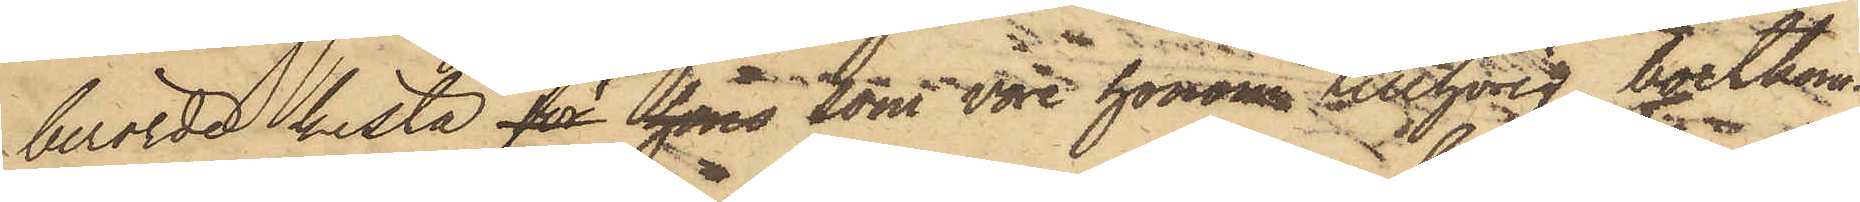berörde kista för hans som vore honom tillhörig, bortkom¬
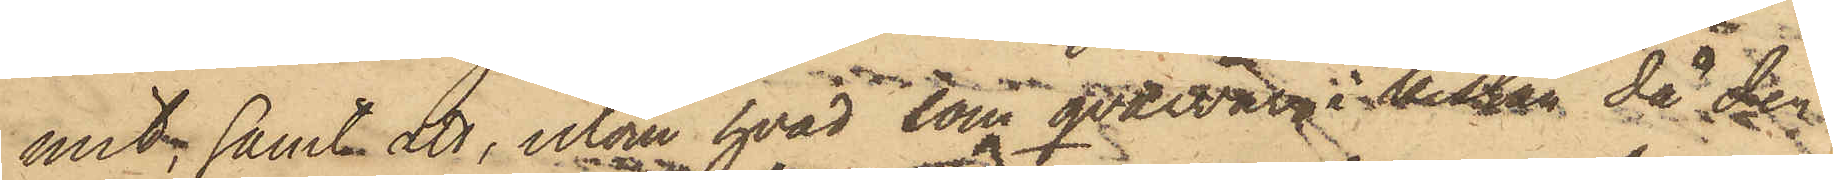mit; samt att, utom hvad som qvarvar i kistan då der
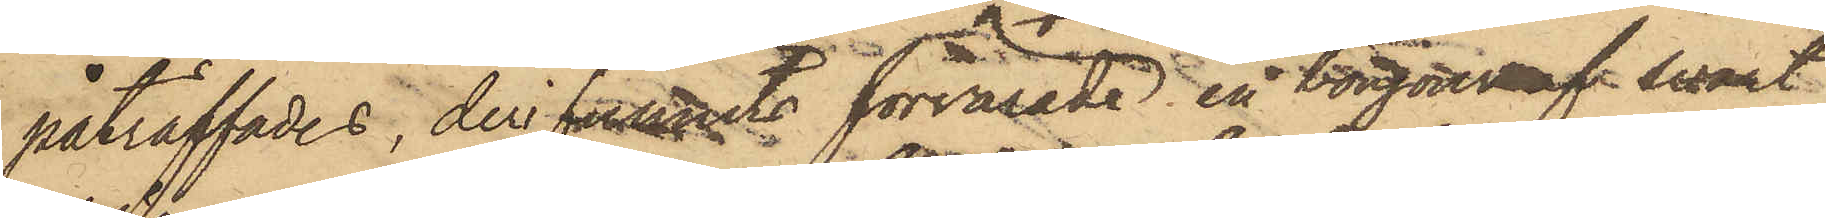påträffades, der funnits förvarade en bonjour af svart
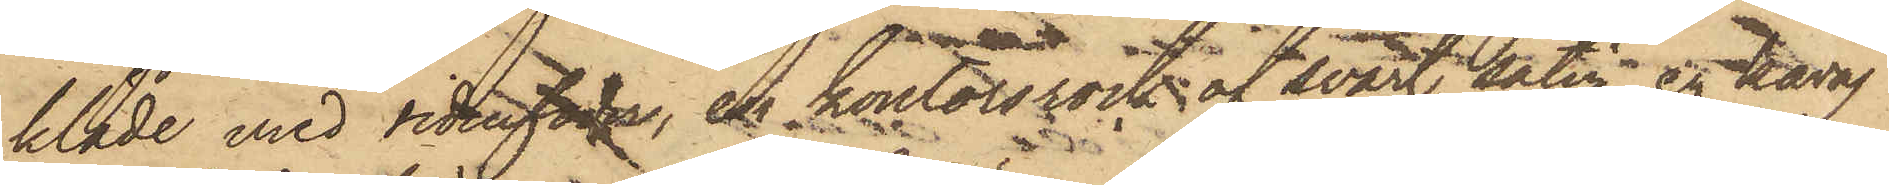kläde med sidenfoder, en kontorsrock af svart satin, en kavaj
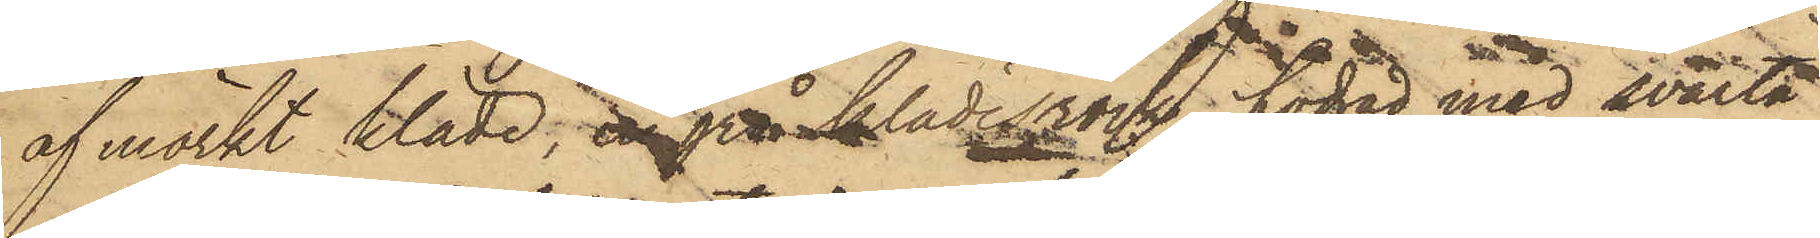af mörkt kläde, en grå klädesrock, fodrad med svarta
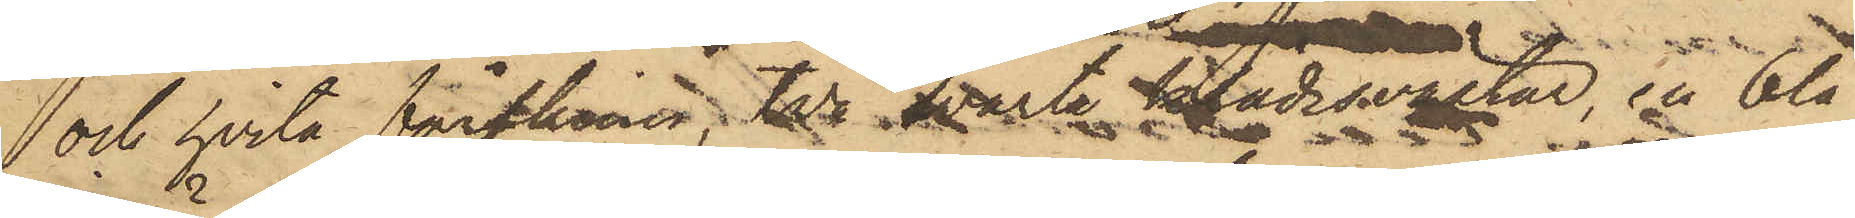och hvita fårskinn, två svarta klädesvästar, en blå
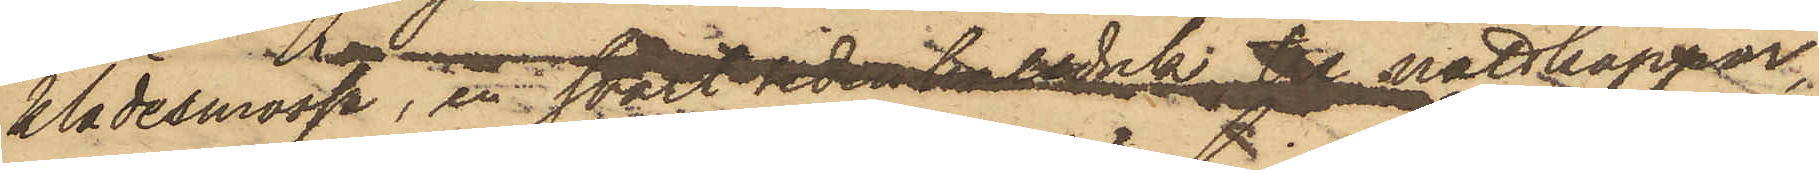klädesmössa, en svart sidenhalsduk, tre nattkappor,
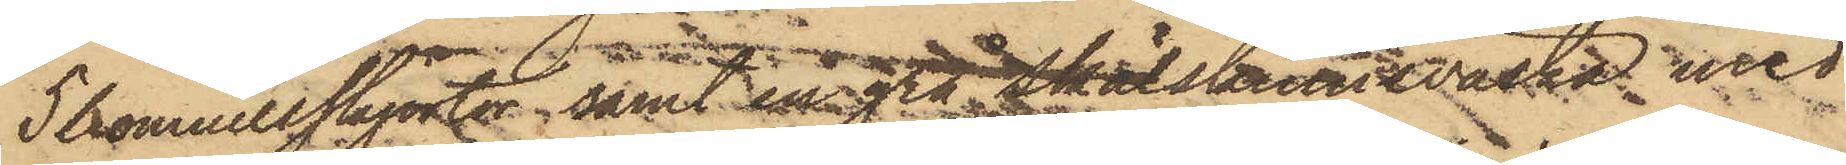5 bomullskjortor, samt en grå Skälskinnväska med
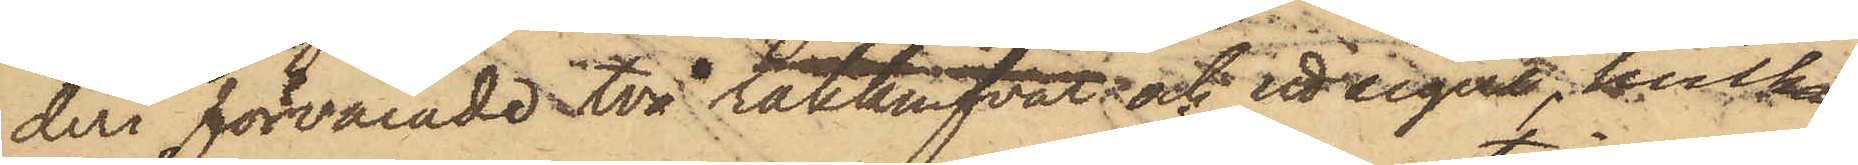deri förvarade två rakkrifvar; och ett sigill, hvilka
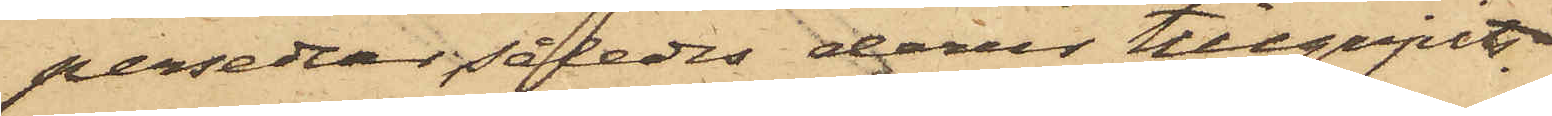persedlar således derur tillgripits.
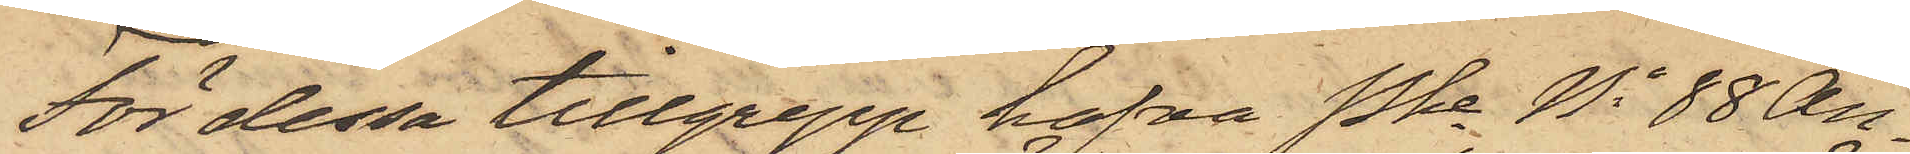För dessa tillgrepp hafva Pkn No 88 An¬
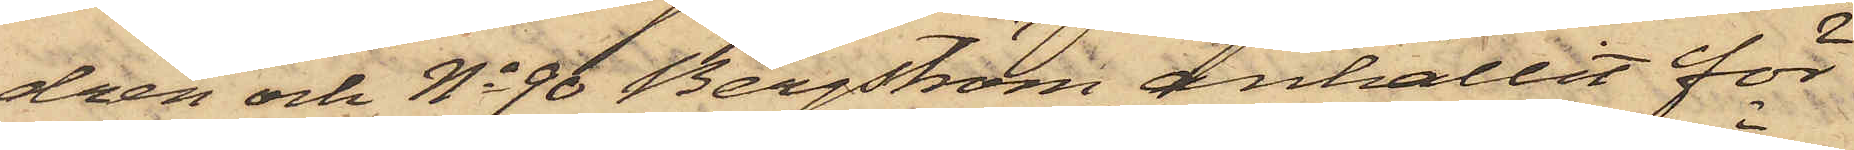drén och No 96 Bergström anhållit för
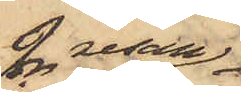2dra resan
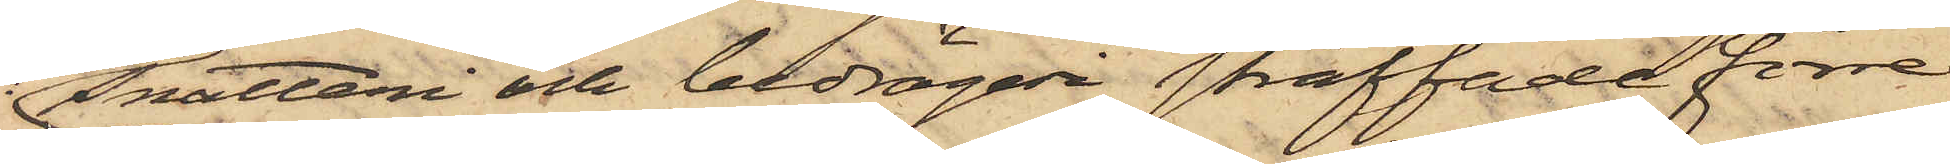Snatteri och bedrägeri straffade förre
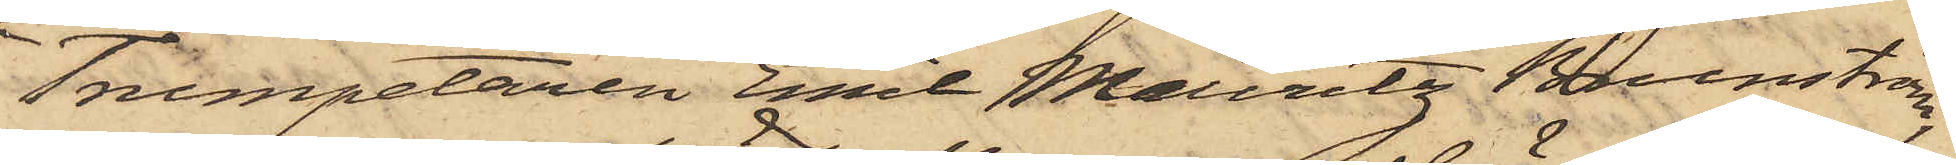Trumpetaren Emil Mauritz Brunström,
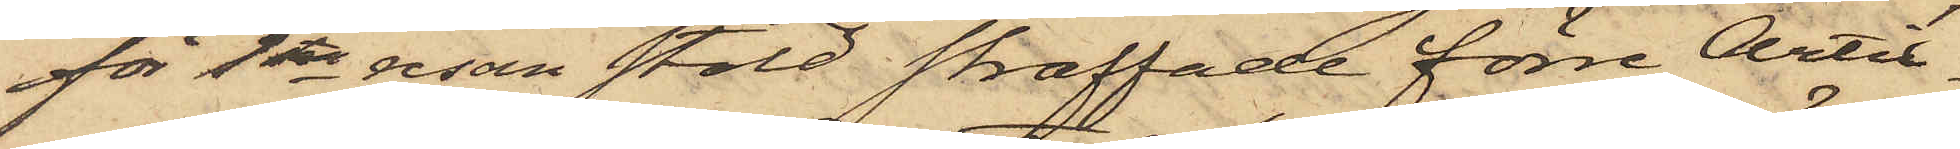för 1sta resan stöld straffade förre Artil¬
